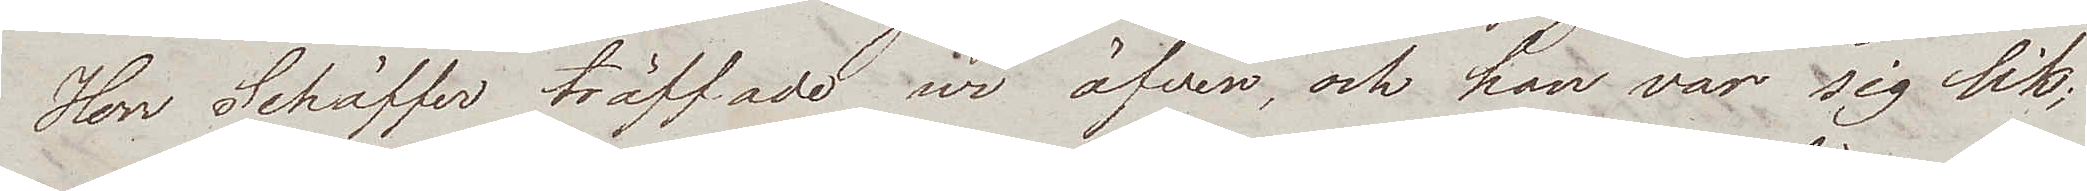Herr Schäffer träffade wi äfven, och han var sig lik;
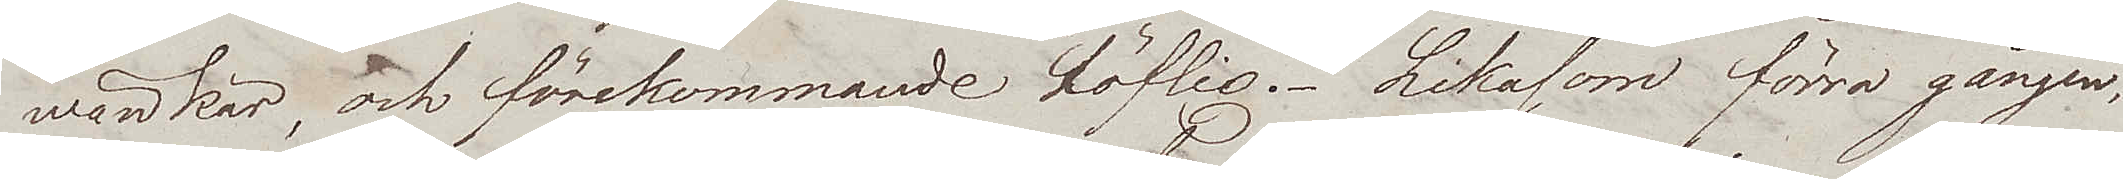wänkär, och förekommande höflig. Likasom förra gången,
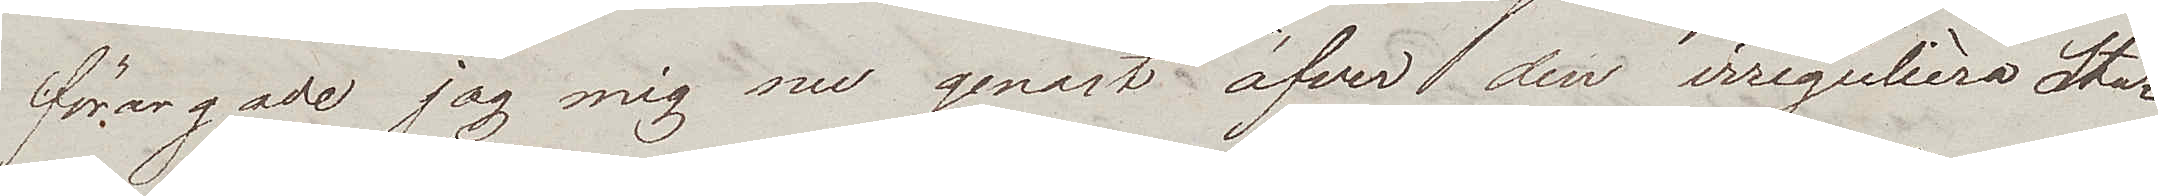förargade jag mig nu genast öfver den irregulièra Sta¬
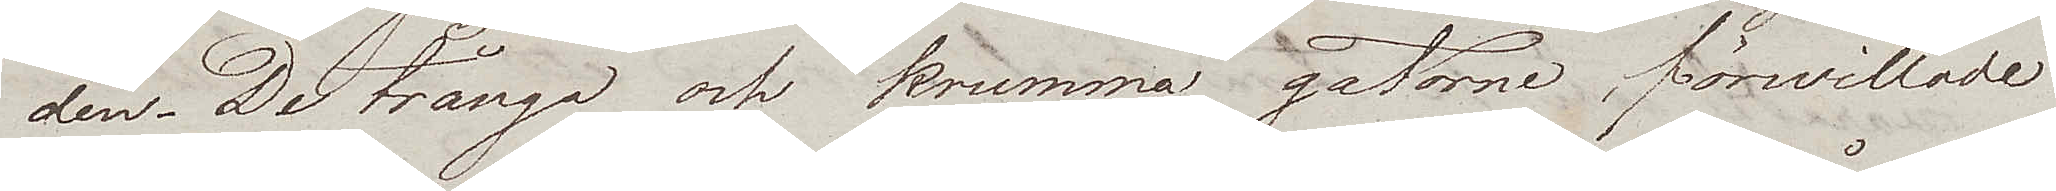den. De trånga och krumma gatorne, förwillade
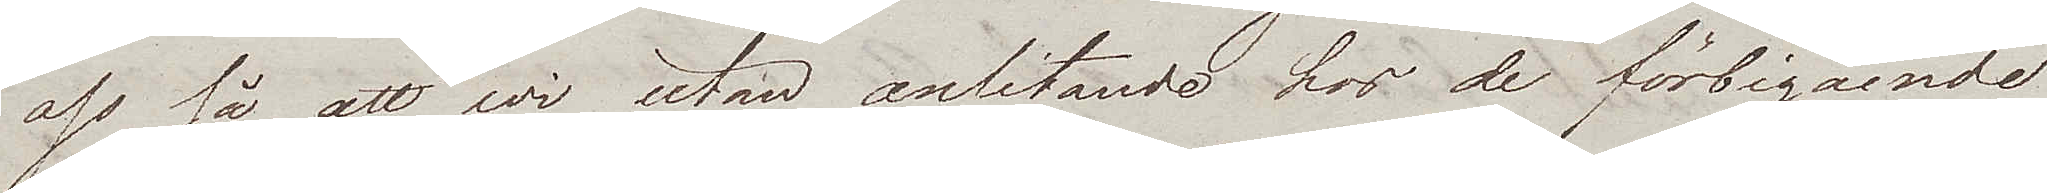oss så att wi utan anlitande hos de förbigående
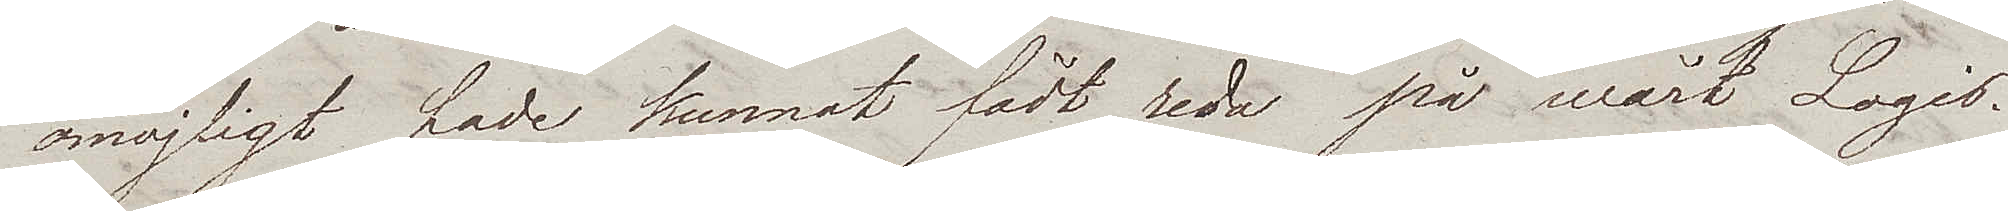omöjligt hade kunnat fådt reda på wårt Logis.
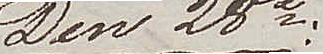Den 28e:
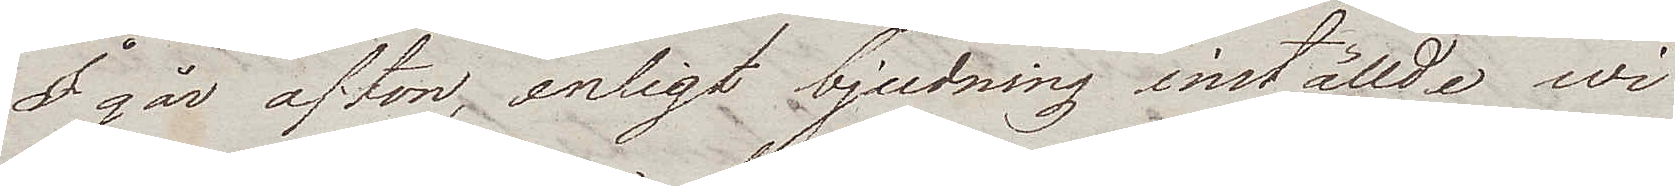I går afton, enligt bjudning inställde wi
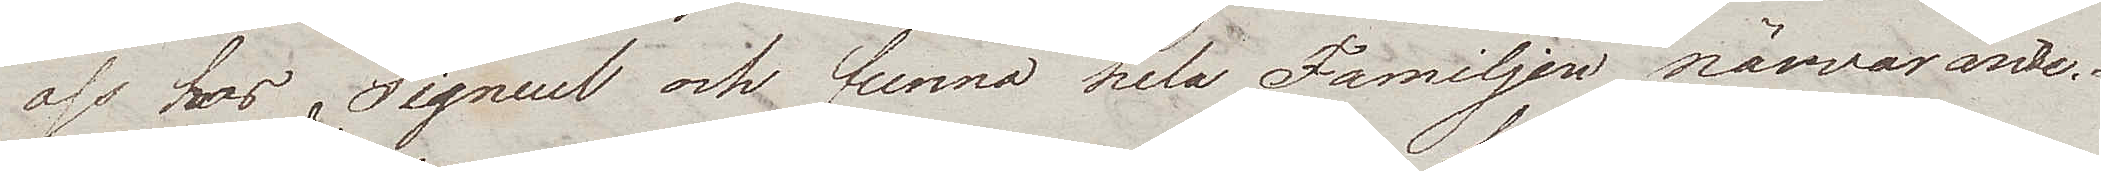oss hos Signeul och funno hela Familjen närvarande.
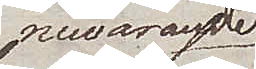nuvarande
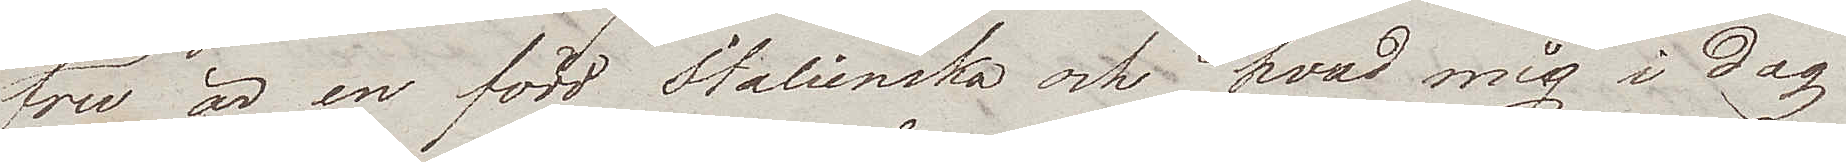fru är en född Italienska och hvad mig i dag
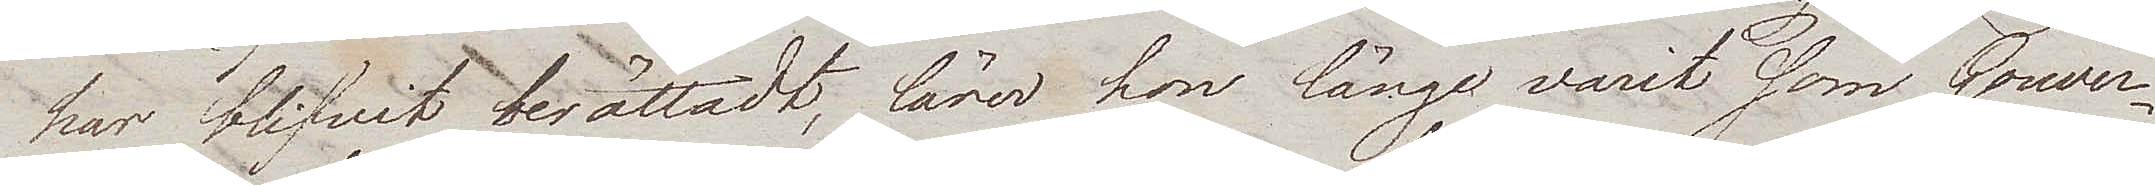har blifvit berättadt, lärer hon länge varit som Gouver¬
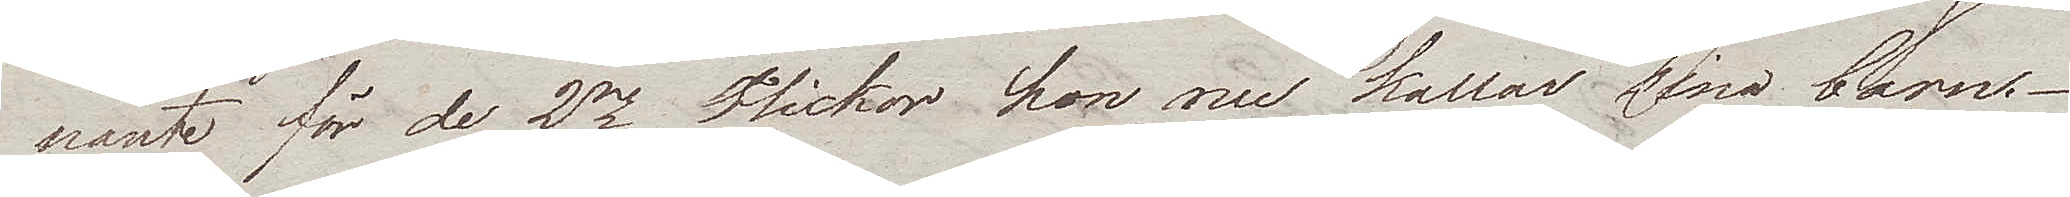nante för de 2ne Flickor hon nu kallar sina barn.-
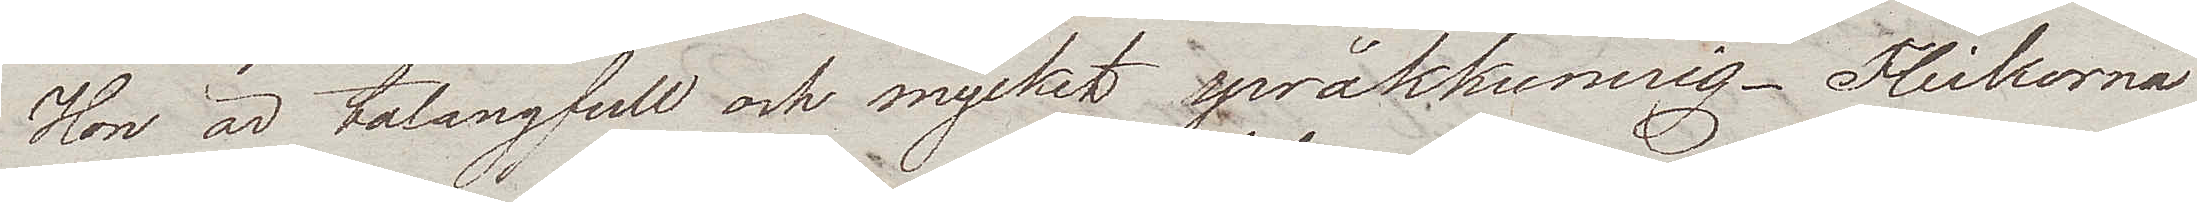Hon är talangfull och mycket språkkunnig. Flickorna
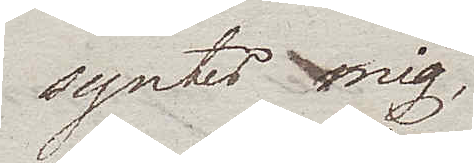syntes mig
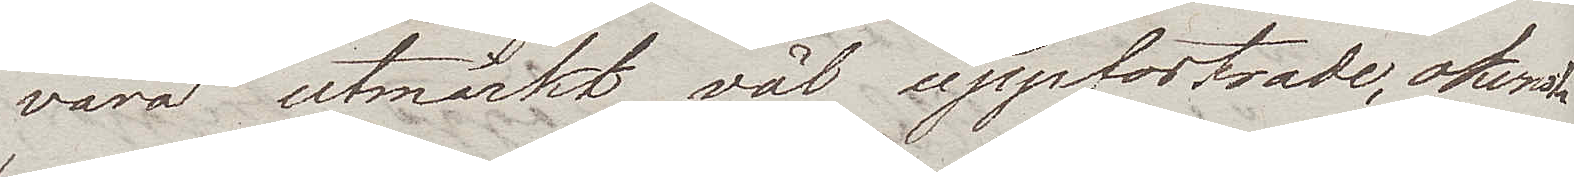vara utmärkt väl uppfostrade, okonst¬
